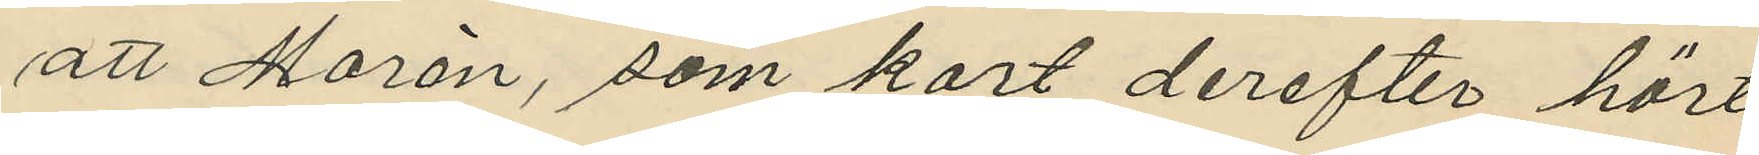att Morén, som kort derefter hört
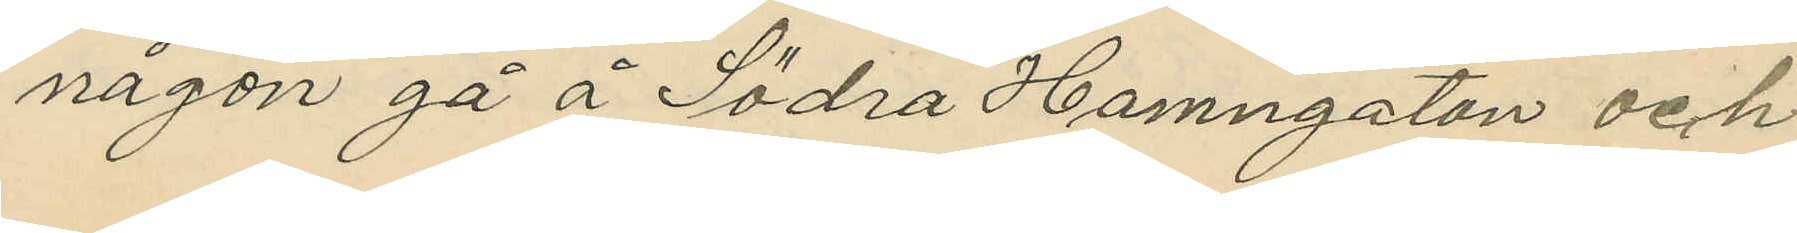någon gå å Södra Hamngatan och
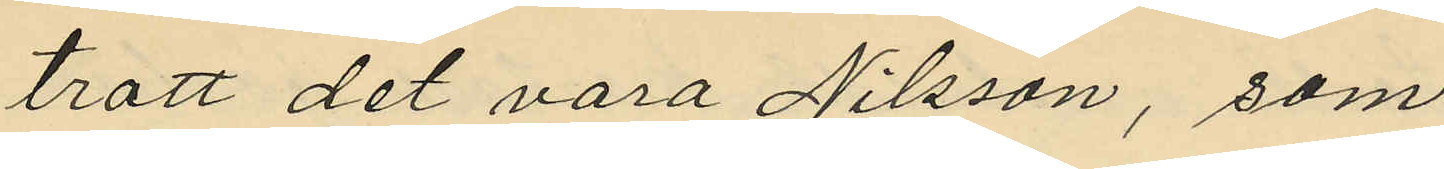trott det vara Nilsson, som
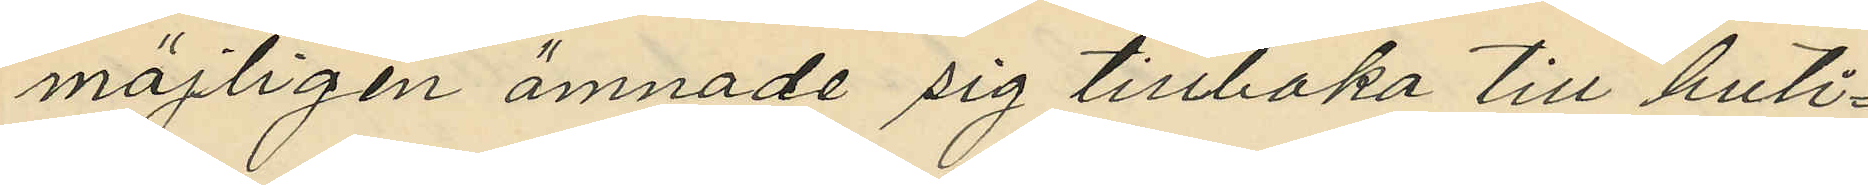möjligen ämnade sig tillbaka till buti¬
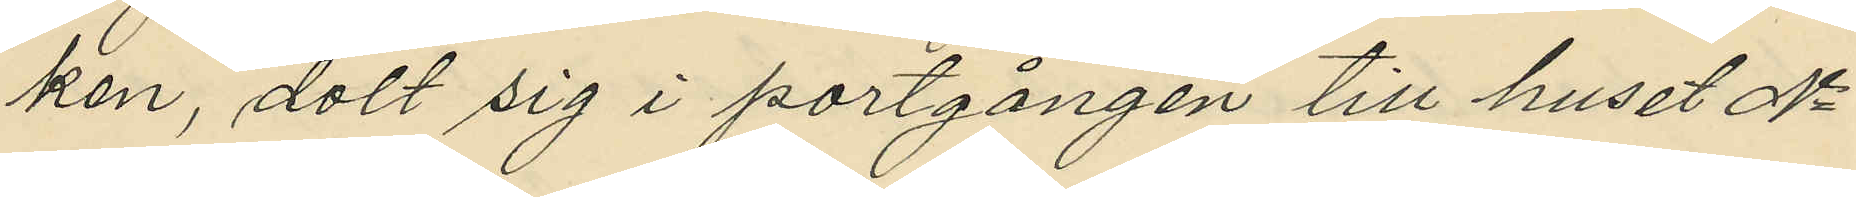ken, dolt sig i portgången till huset No
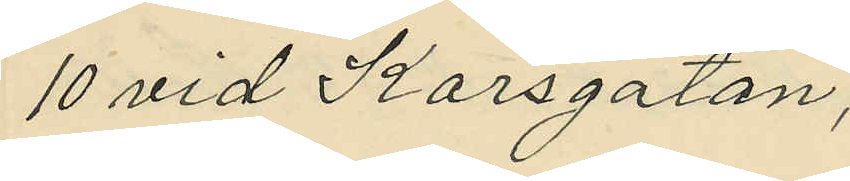10 vid Korsgatan;
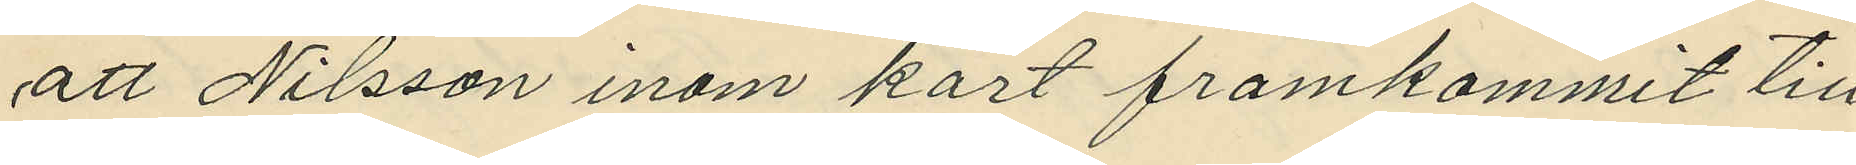att Nilsson inom kort framkommit till
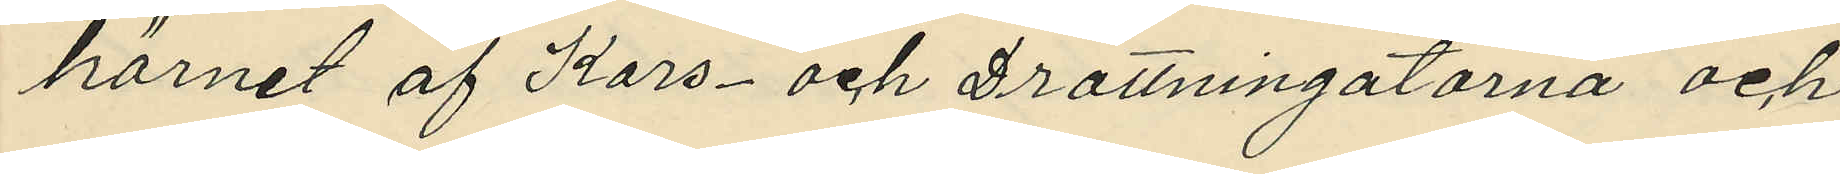hörnet af Kors- och Drottningatorna och
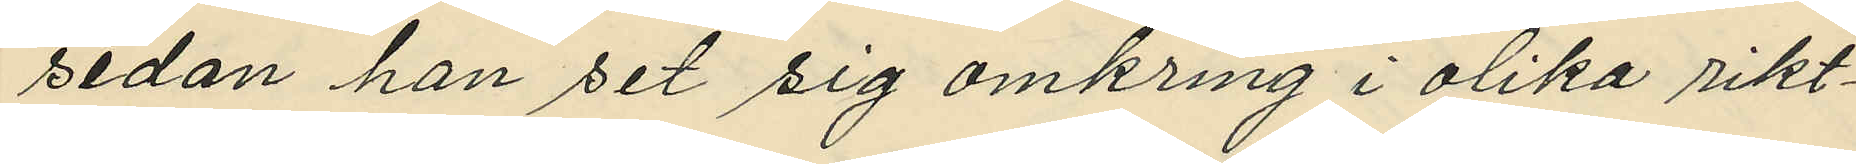sedan han set sig omkring i olika rikt¬
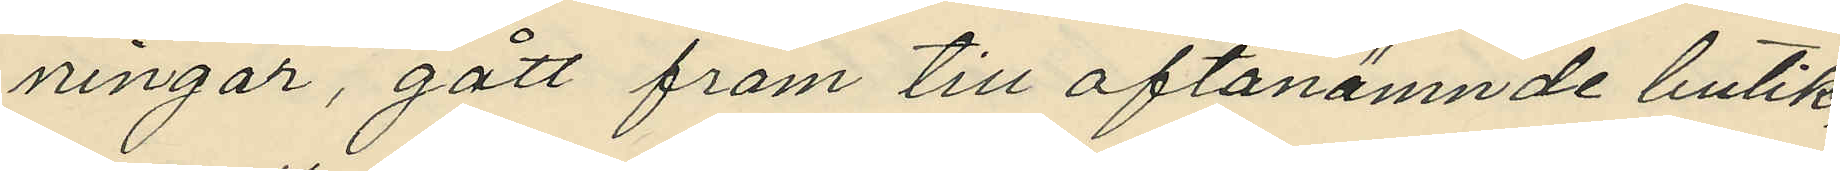ningar, gått fram till oftanämnde butik;
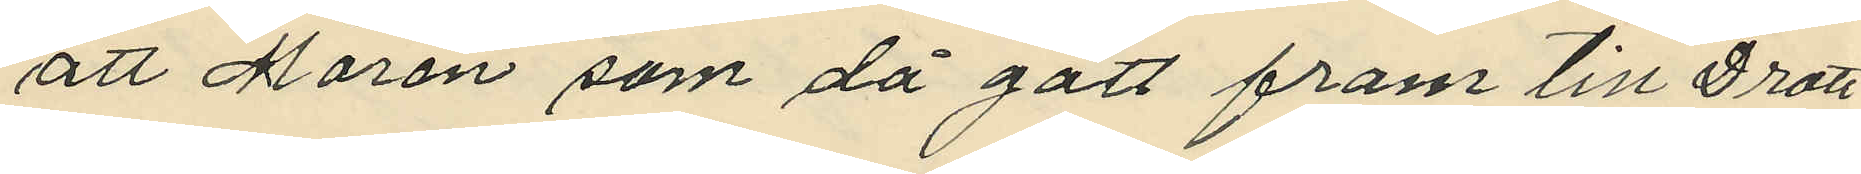att Morén som då gått fram till Drott¬
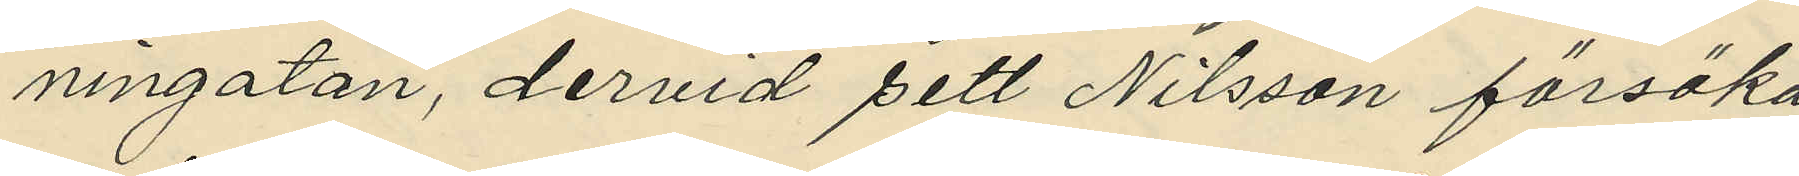ningatan, dervid sett Nilsson försöka
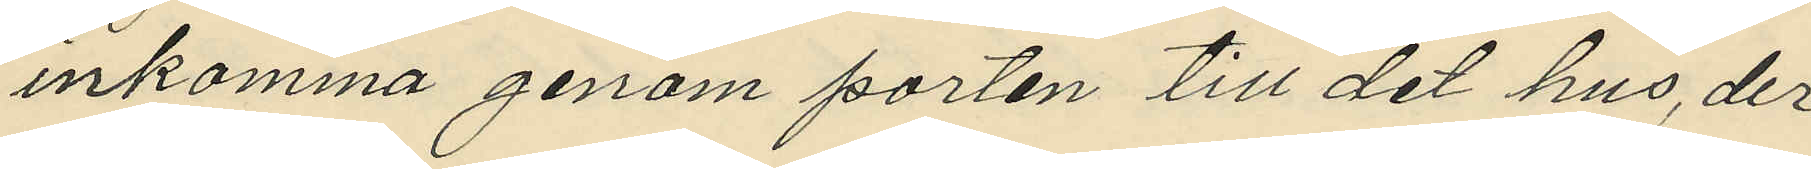inkomma genom porten till det hus, der
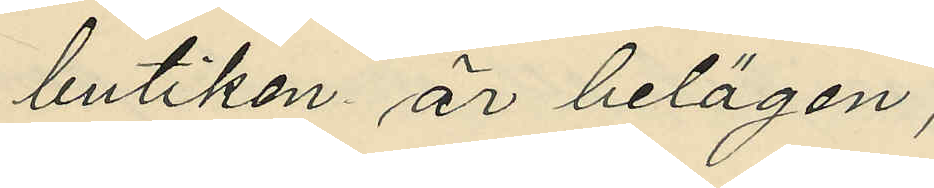butiken är belägen;
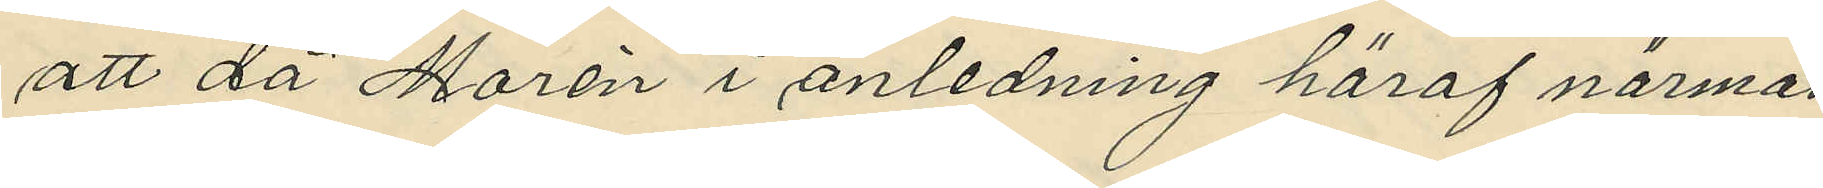att då Morén i anledning häraf närmat
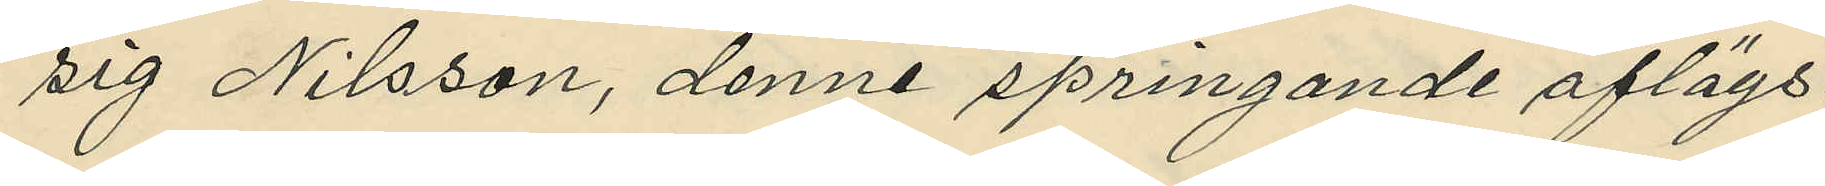sig Nilsson, denne springande aflägs¬
